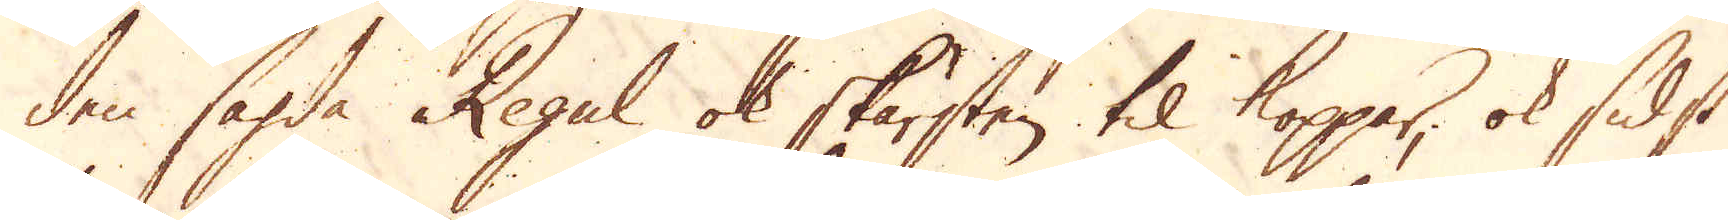den sagda Regull ok skärsten til koppar, ok sidst
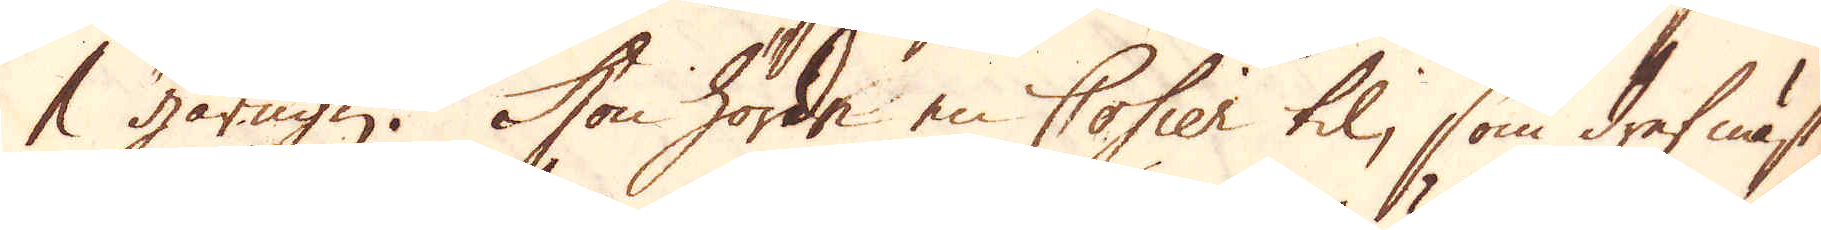1 gårugn. Hon hörde en Cosier til, som dref näst
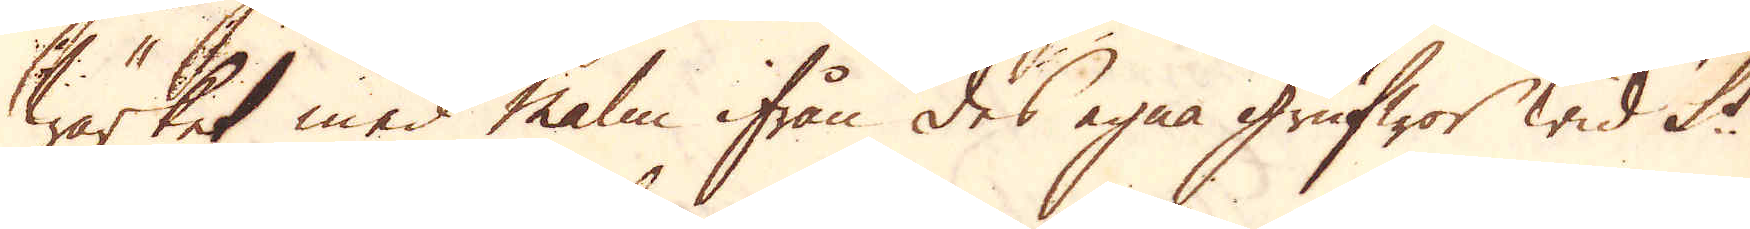wärket med malm ifrån des egna grufwor wid St
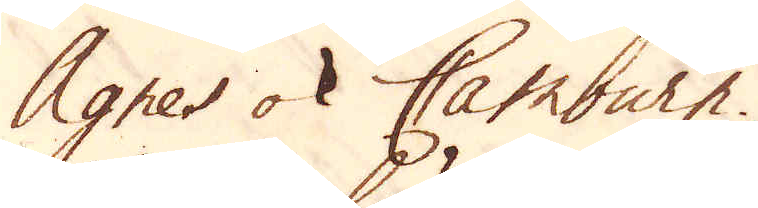Agnes ok Camburn.
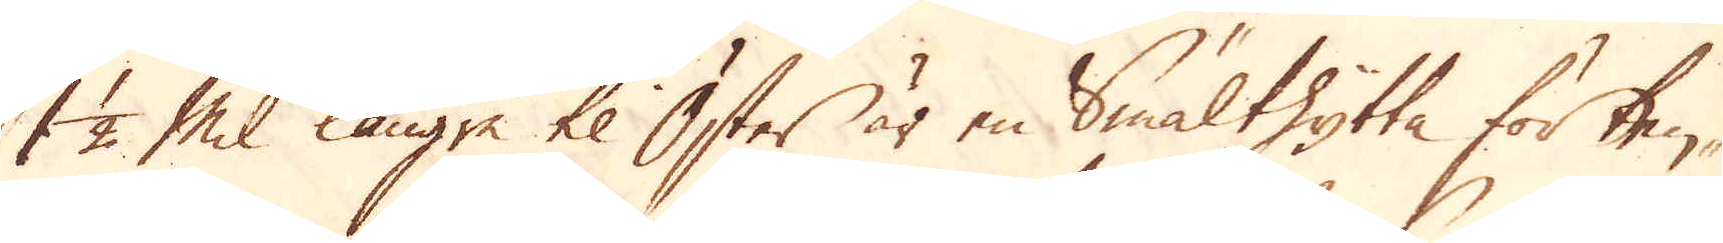1 1/2 Mil längre til Öster är en smälthytta för tenn-
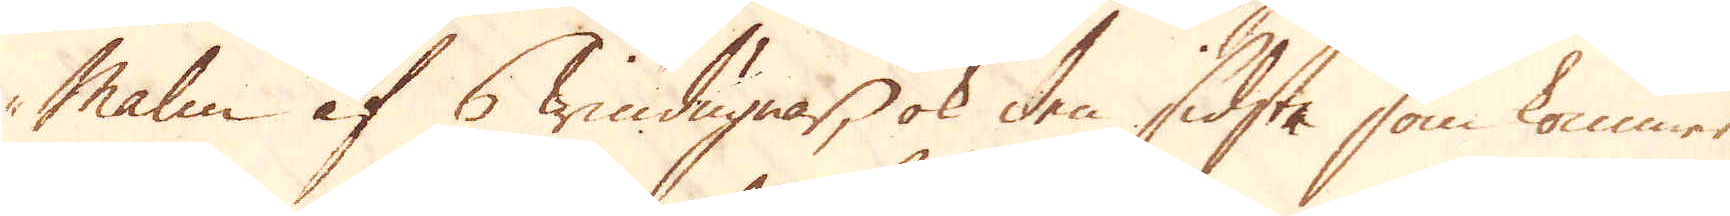Malm af 6 windugnar, ok den sidsta som kommer
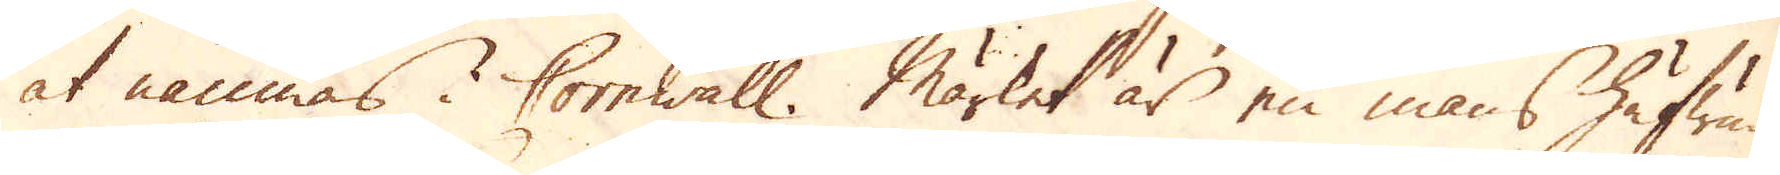at nämnas i Cornwall. Märket är en mans hufwud
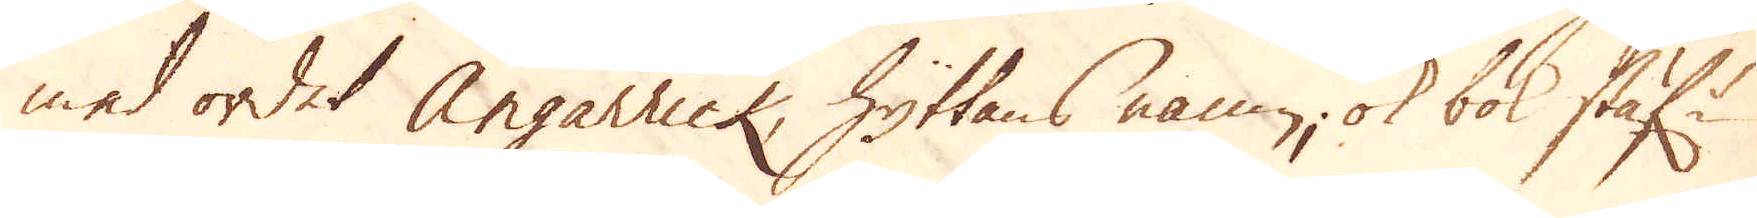med ordet Angarrick, hyttans namn, ok bok stäf:r
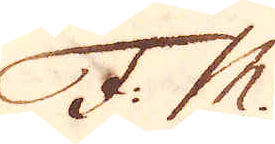F. M.
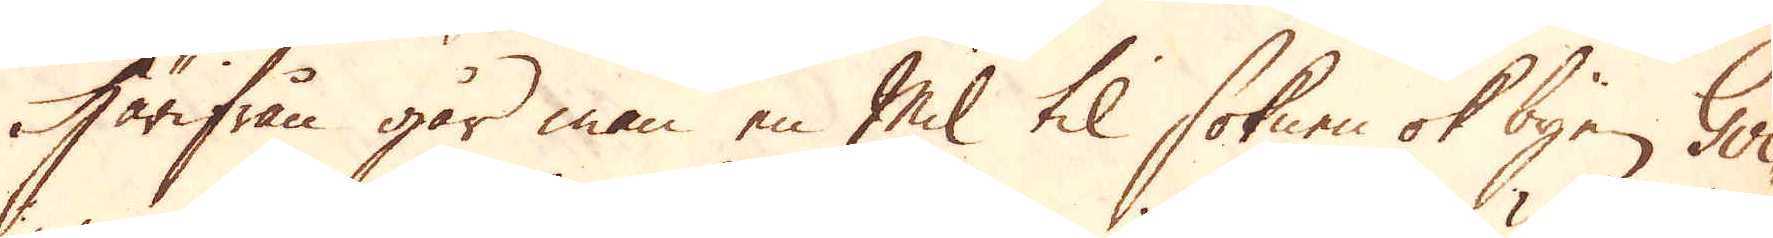Härifrån går man en Mil til soknen ok byen Gvi-
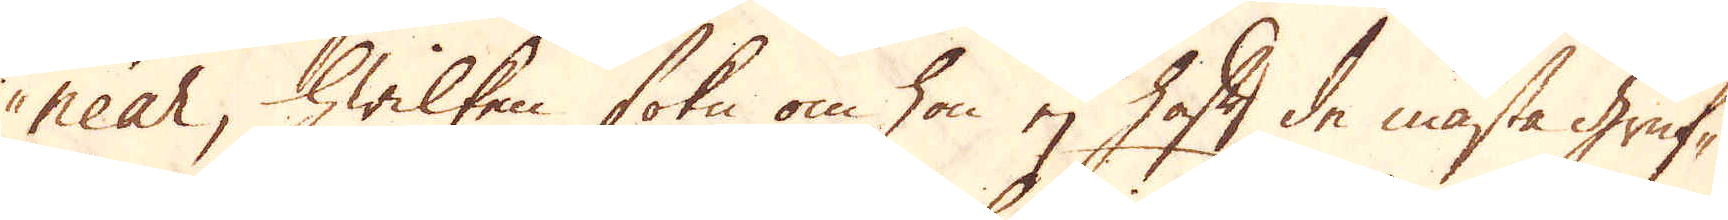near, hwilken sokn om hon ej haft de mästa Gruf-
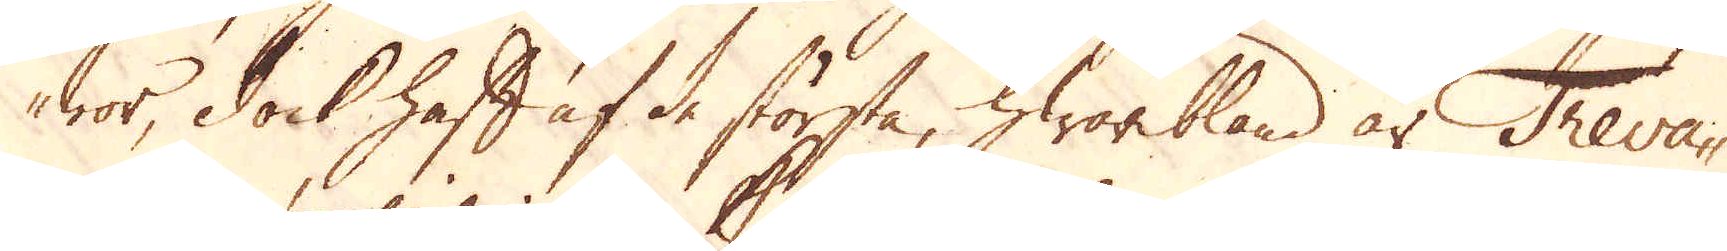wor, dock haft af de största, hwaribland är Treva-
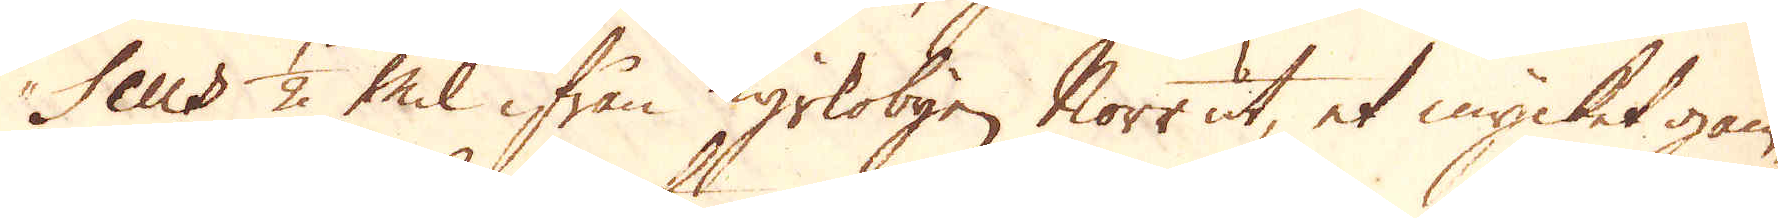seus 1/2 Mil ifrån Kyrkobyen Norr ut, et mycket gam-
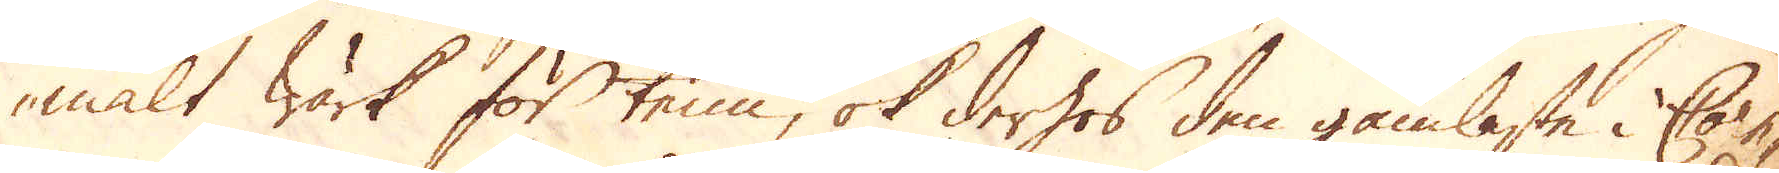malt wärk för tenn, ok derhos den gamlaste i Cor-
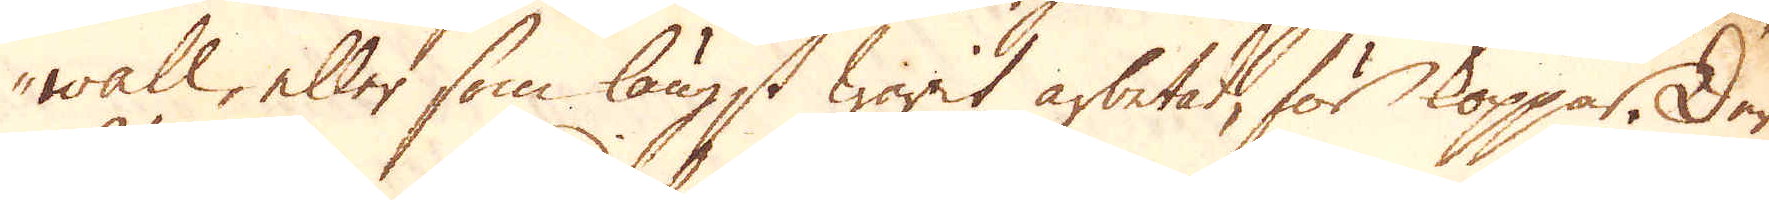wall, eller som längst warit arbetad, för koppar. Der
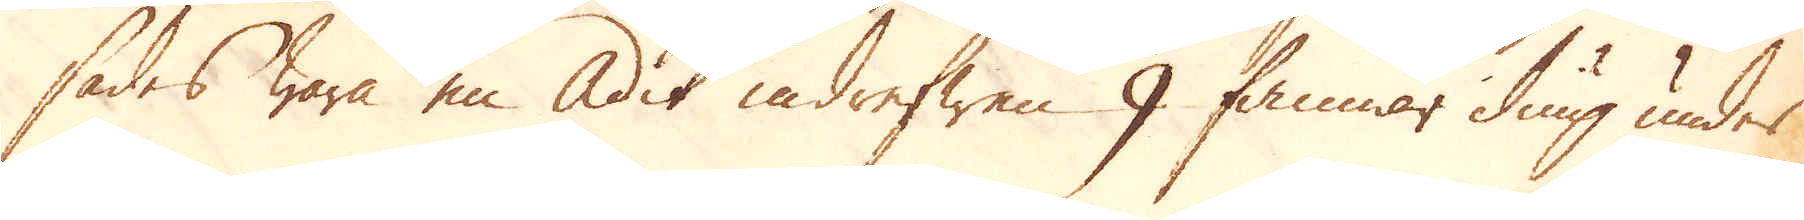sades wara en Adit indrefwen 9 famnar diup under
